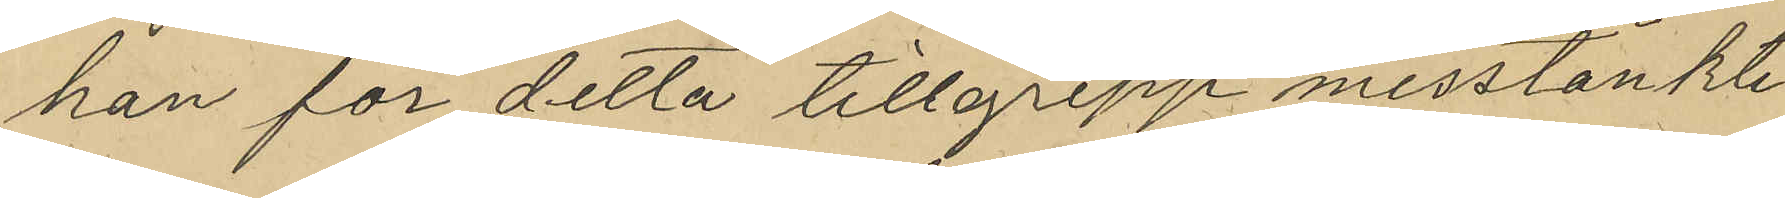han för detta tillgrepp misstänkte
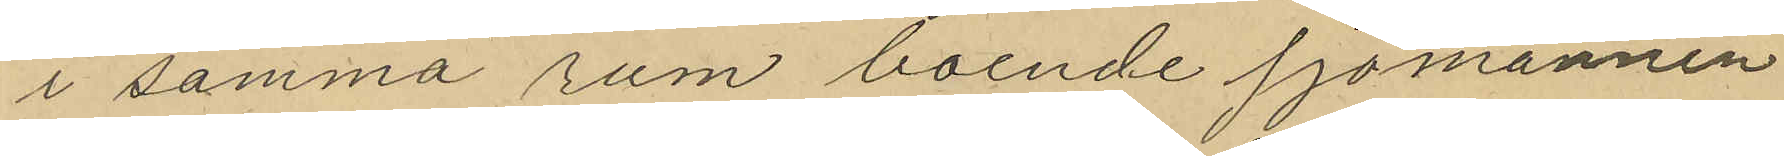i samma rum boende sjömannen
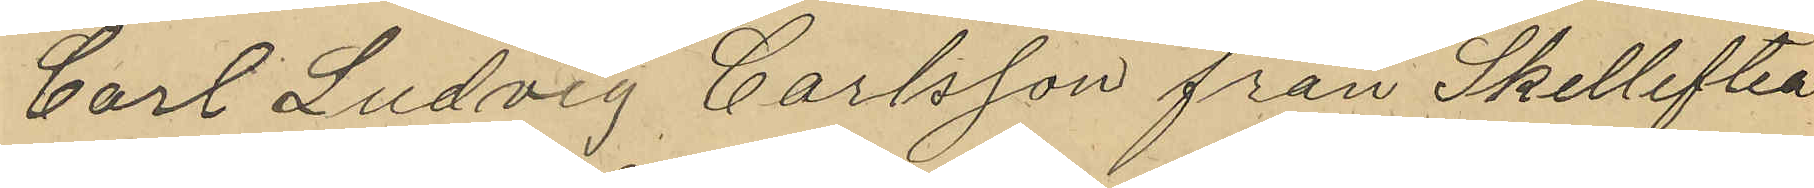Carl Ludvig Carlsson från Skellefteå
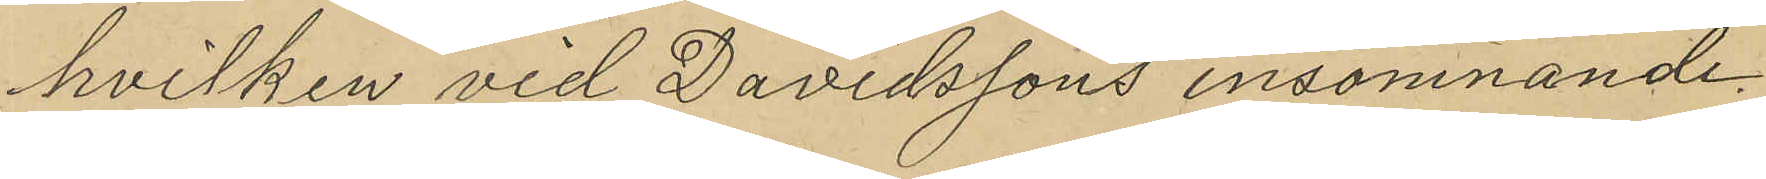hvilken vid Davidssons insomnande
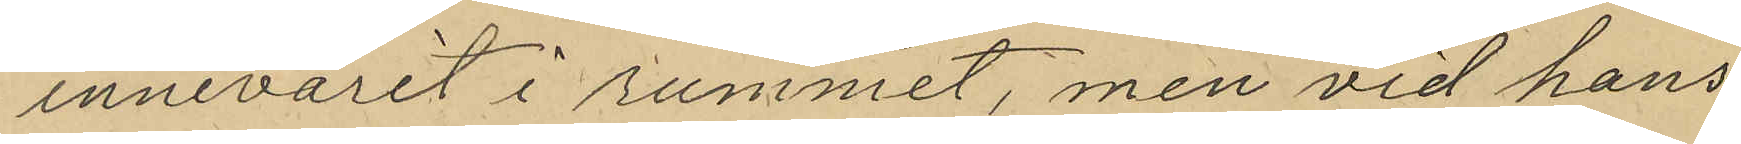innevarit i rummet, men vid hans
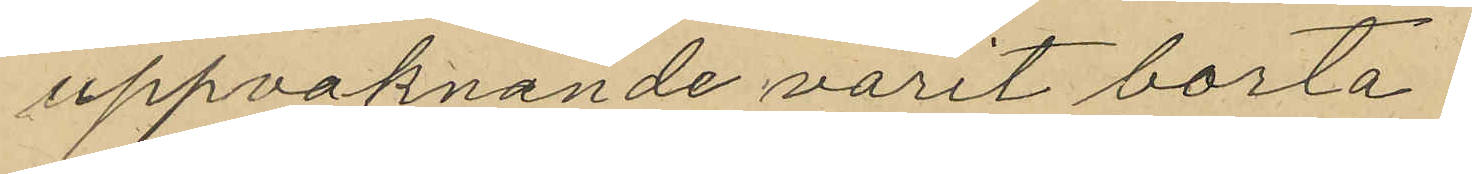uppvaknande varit borta.
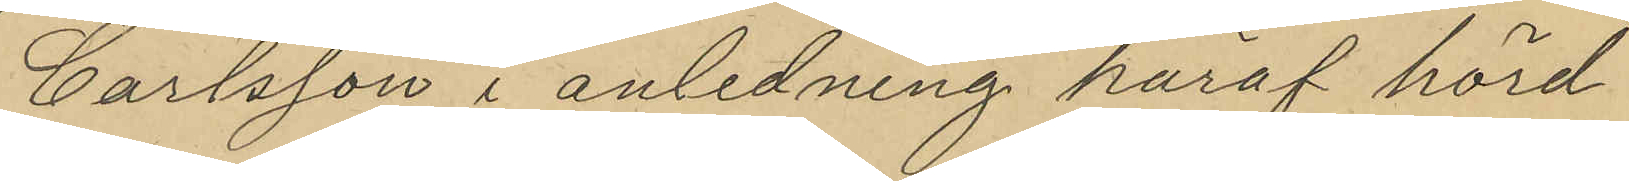Carlsson i anledning häraf hörd
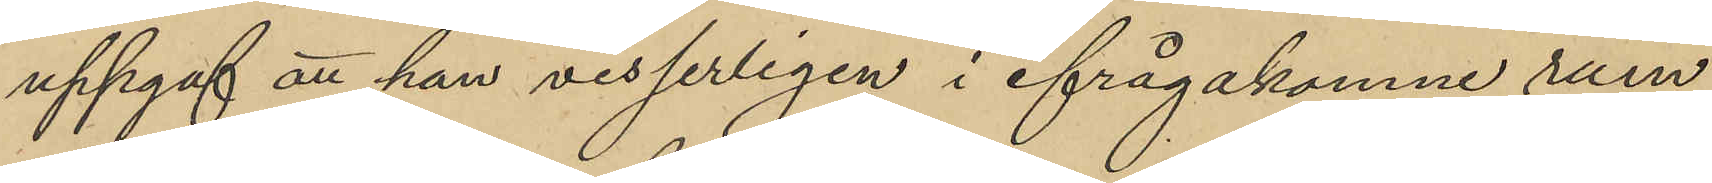uppgaf att han visserligen i ifrågakomne rum
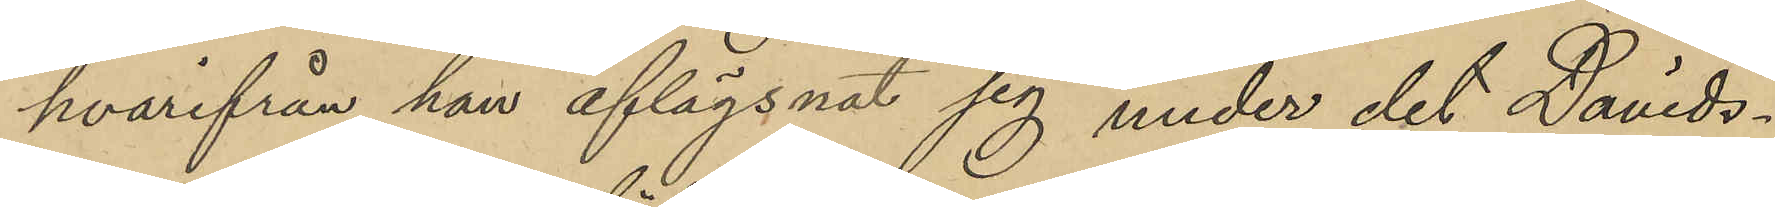hvarifrån han aflägsnat sig under det Davids¬
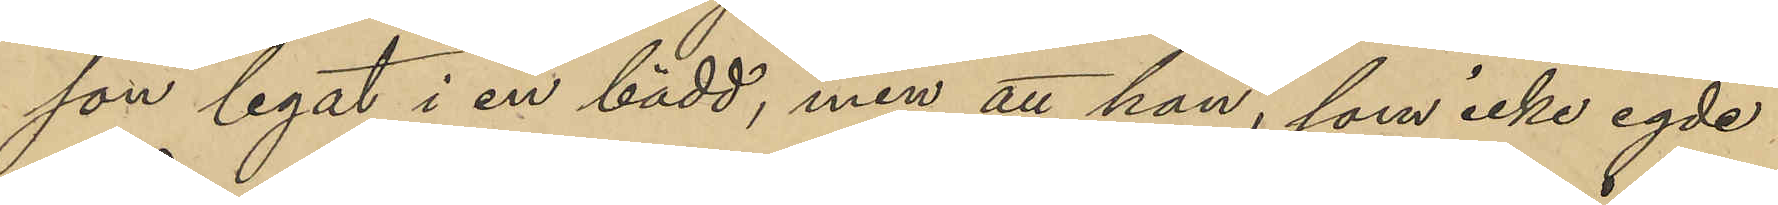son legat i en bädd, men att han, som icke egde
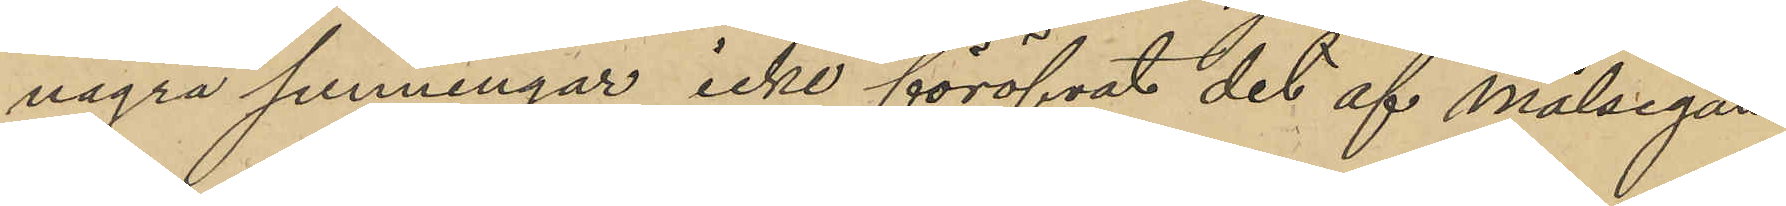några penningar icke föröfvat det af Målsegan¬
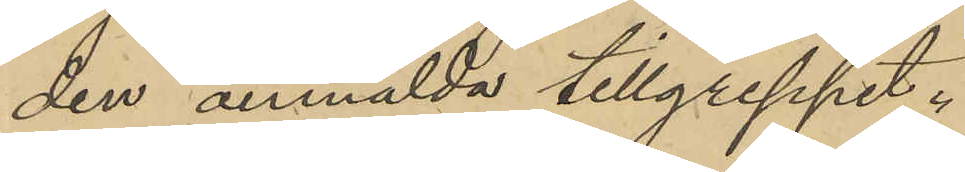den anmälda tillgreppet.
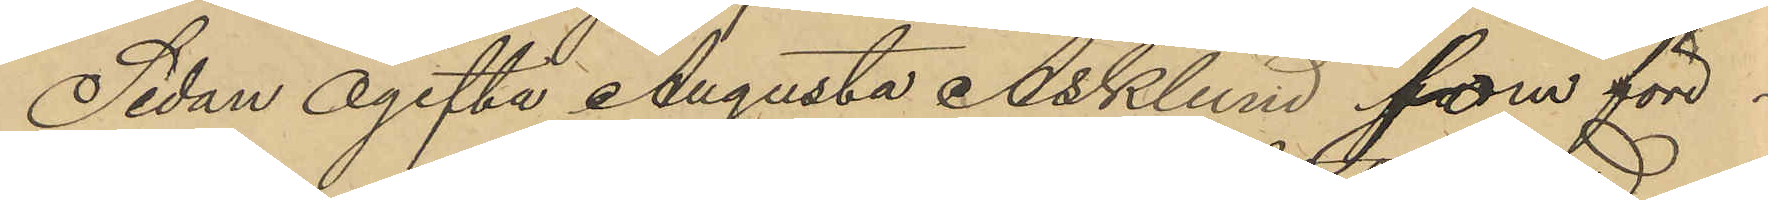Sedan ogifta Augusta Asklund, som före¬
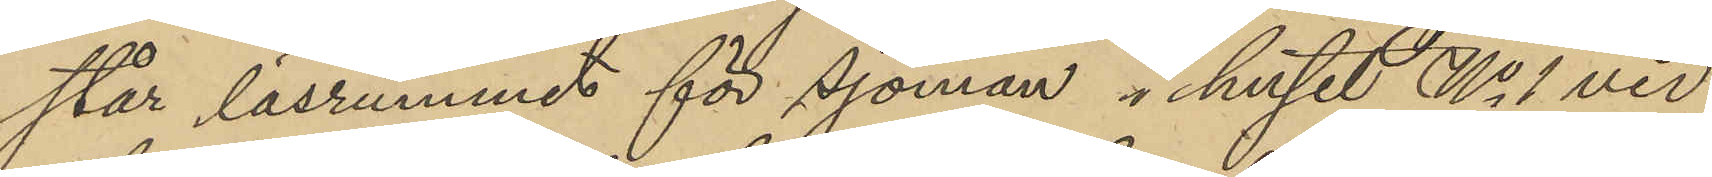står läsrummet för sjöman i huset No 1 vid
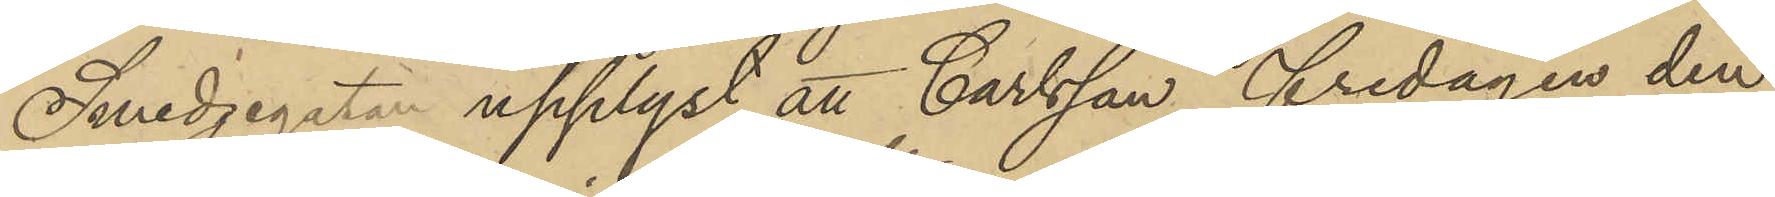Smedjegatan upplyst att Carlsson fredagen den
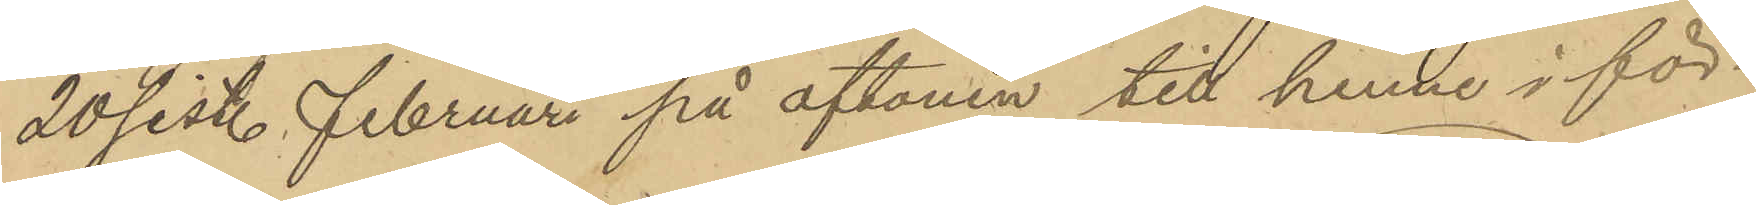20 sist. Februari på aftonen till henne i för¬
